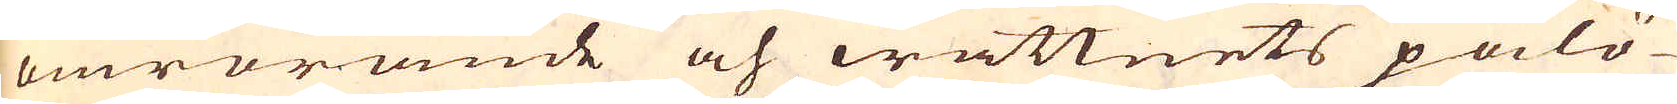omrörande och wattnets pålö-
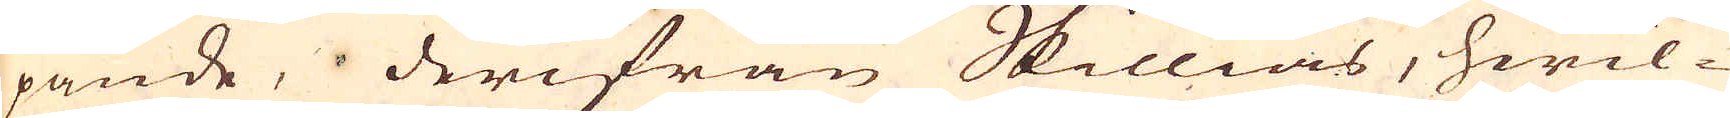pande, derifrån Skillias, hwil-
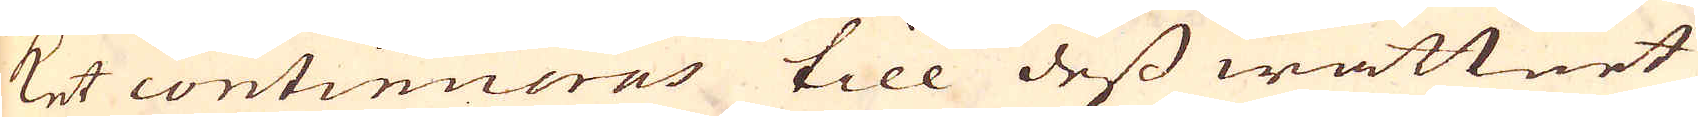ket continueras till dess wattnet
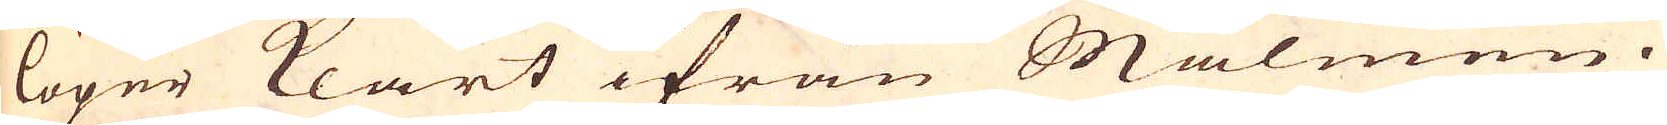löper klart ifrån Malmen.
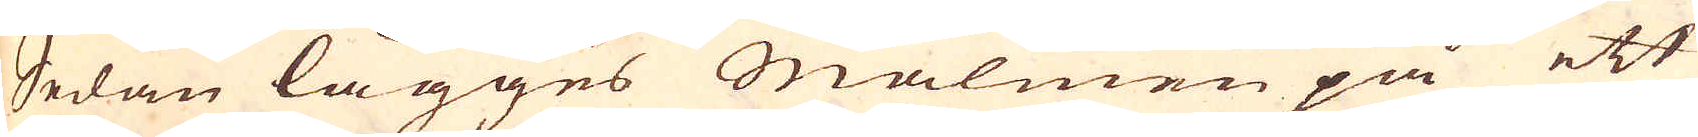Sedan lägges Malmen på ett
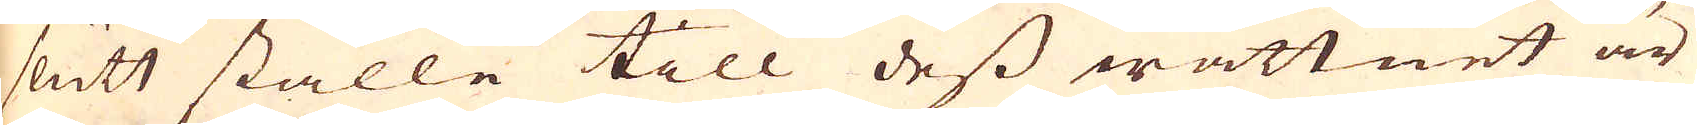slutt ställe till dess wattnet är
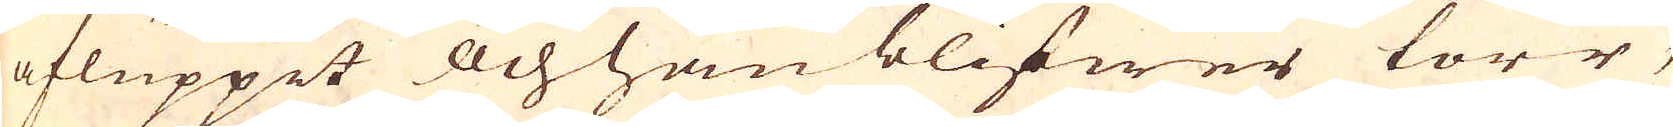afluppit och han blifwer torr,
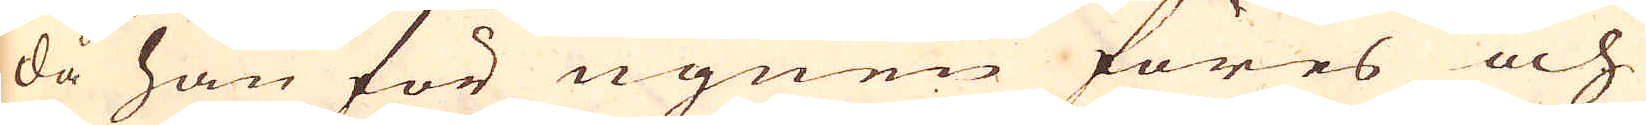då han för ugnen föres och
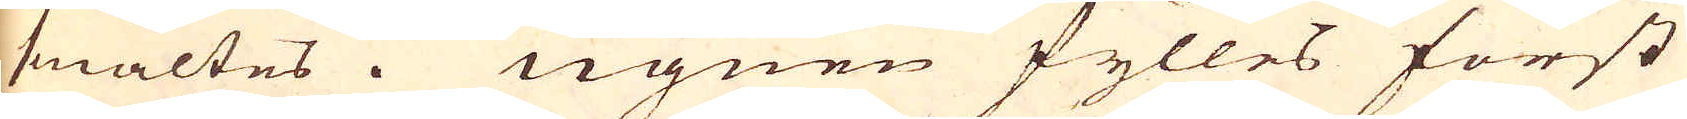smältes. Ugnen fylles först
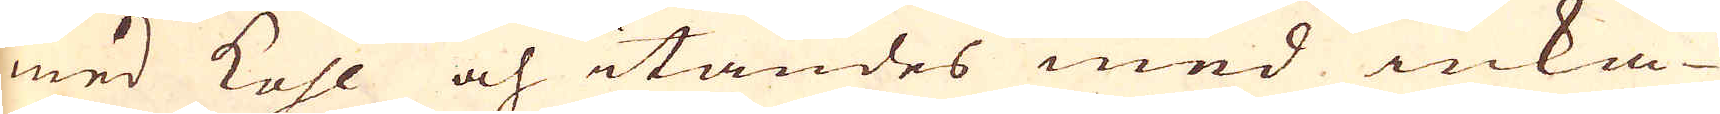med kohl och itändes med inka-
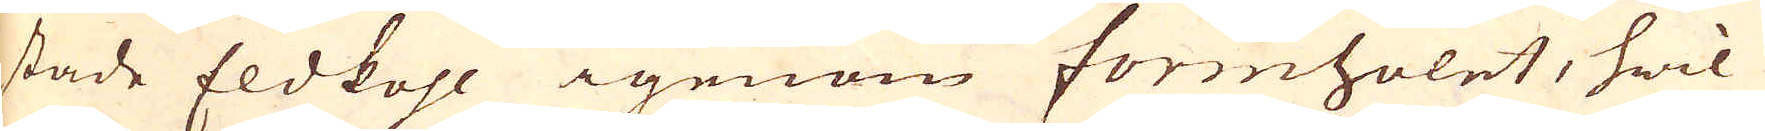stade Eldkohl igenom formholet, hwil-
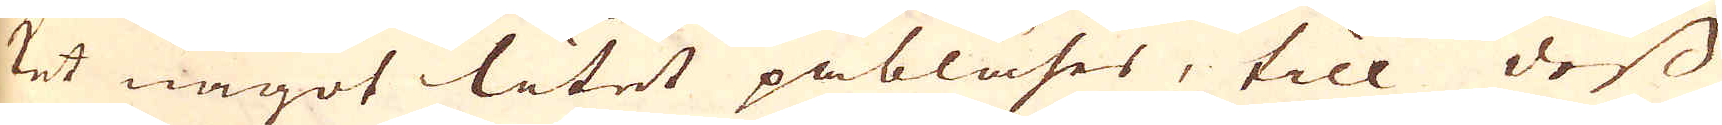ket något litet påblåses, till dess
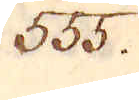555.
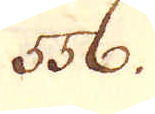556.
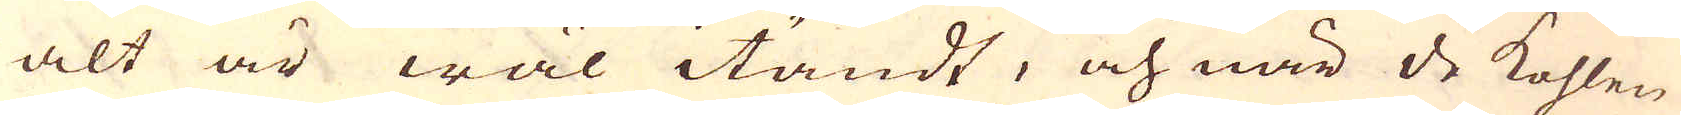alt är wäl itändt, och när de kohlen
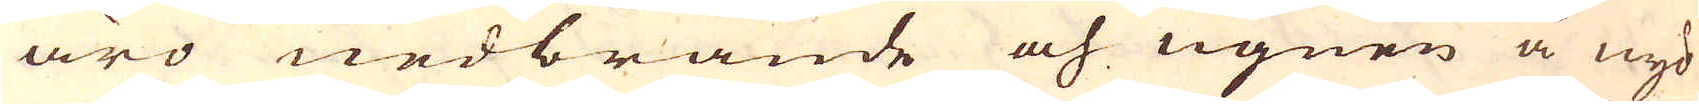äro nedbrände och ugnen å nyo
